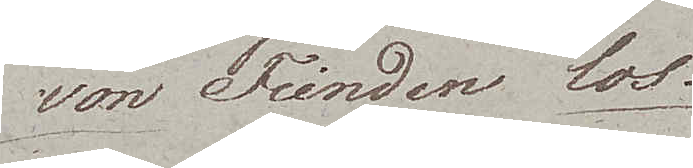von Feinden los.
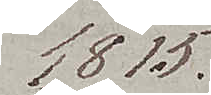1815.
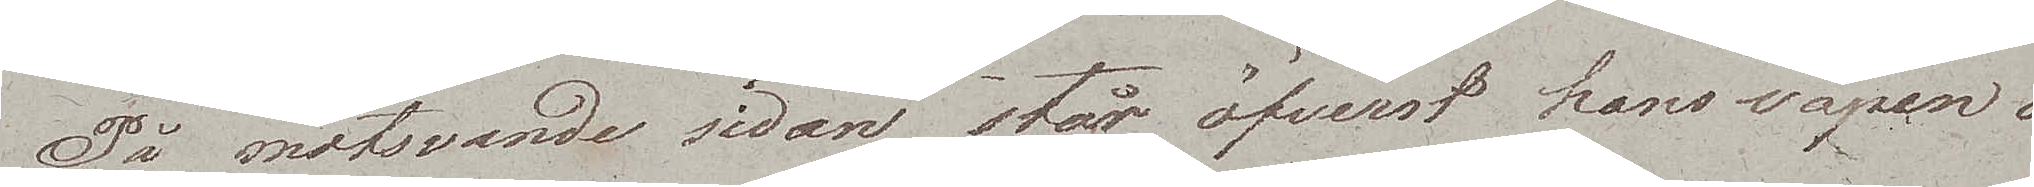På motsvande sidan står öfverst hans vapen och
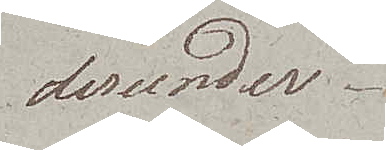derunder.
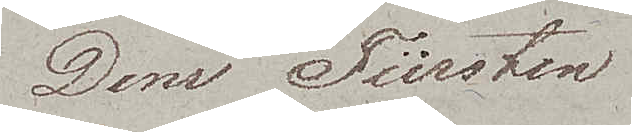Dem Fürsten
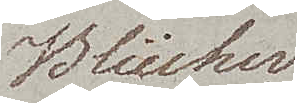Blücher
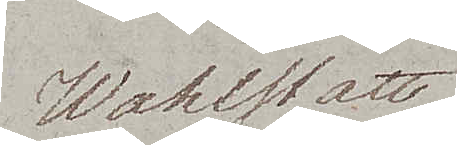Wahlstatt
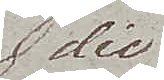die
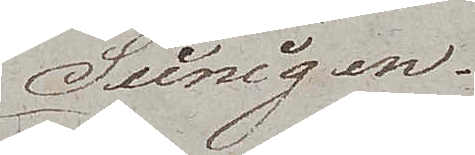Seinigen.
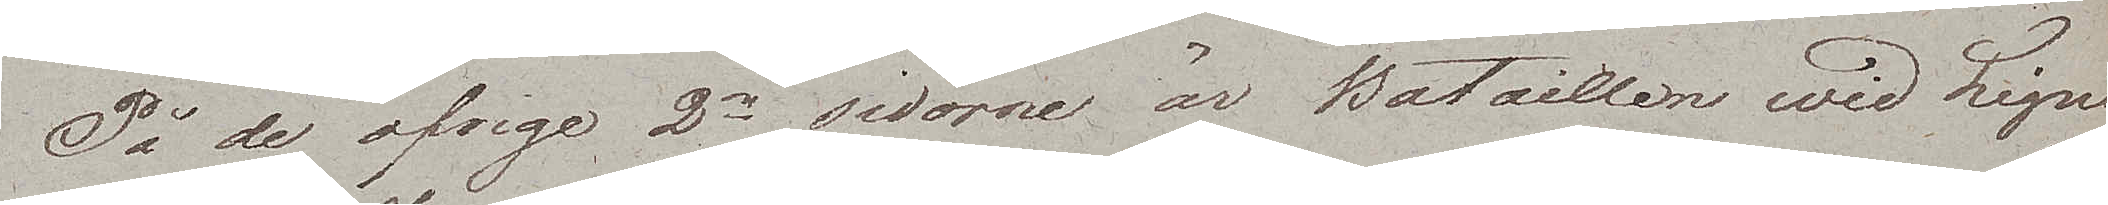På de öfrige 2ne sidorne är Bataillen wid Ligne
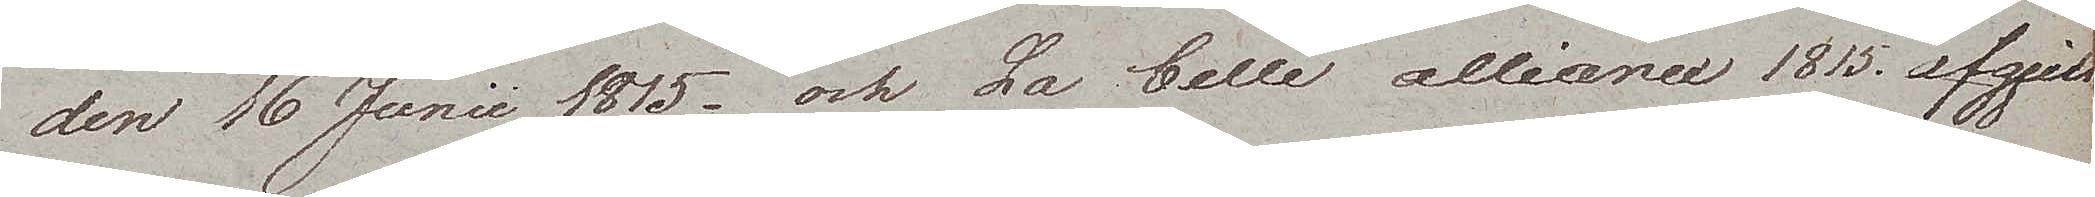den 16 Junii 1815 och La belle alliance 1815 afgjut¬
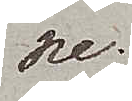ne.
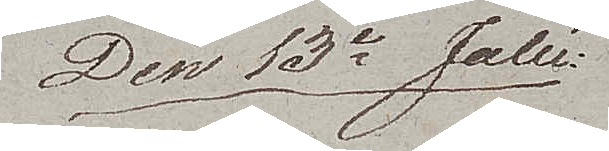Den 13de Julii
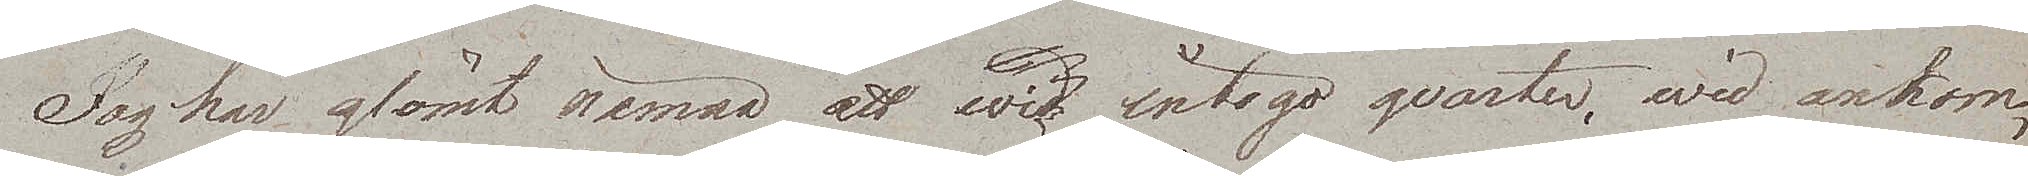Jog har glömt nämna att wid intogo qvarter, wid ankom¬
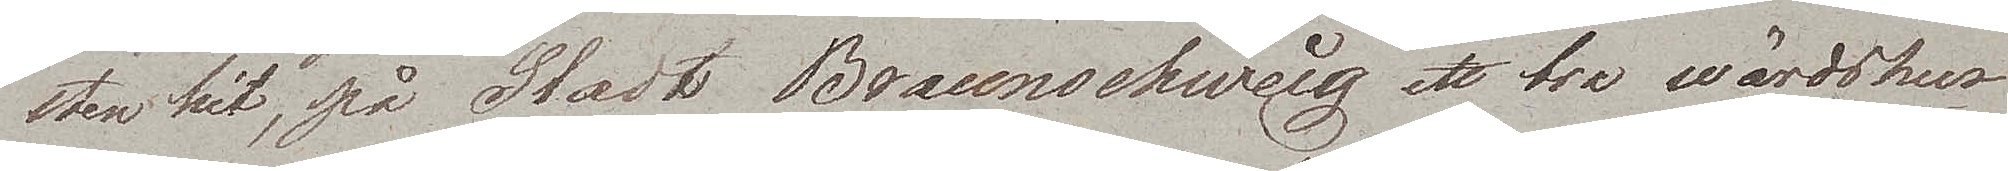sten hit, på Stadt Braunschweig ett bra wärdshus
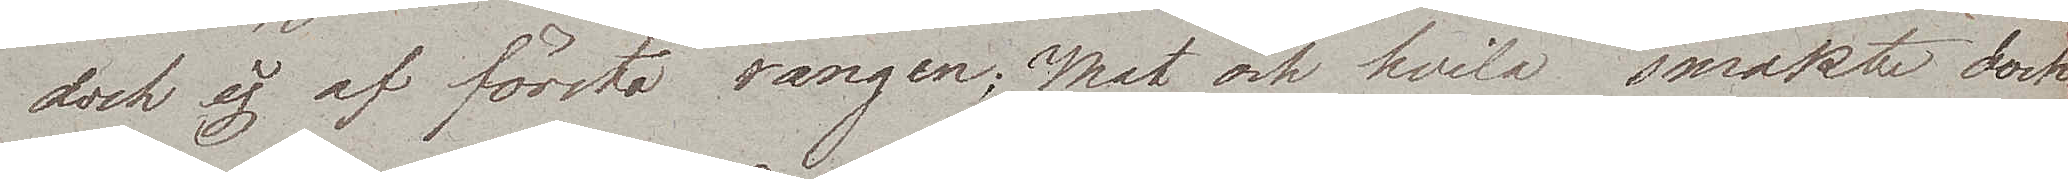dock ej af första rangen; Mat och hvila smakte dock
